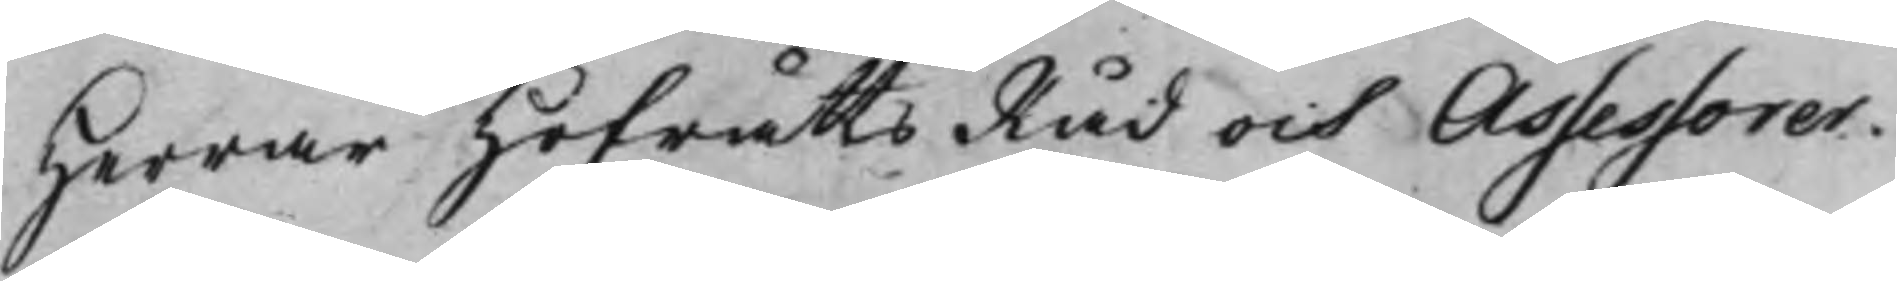Herrar HofrättsRåd och Assessorer.
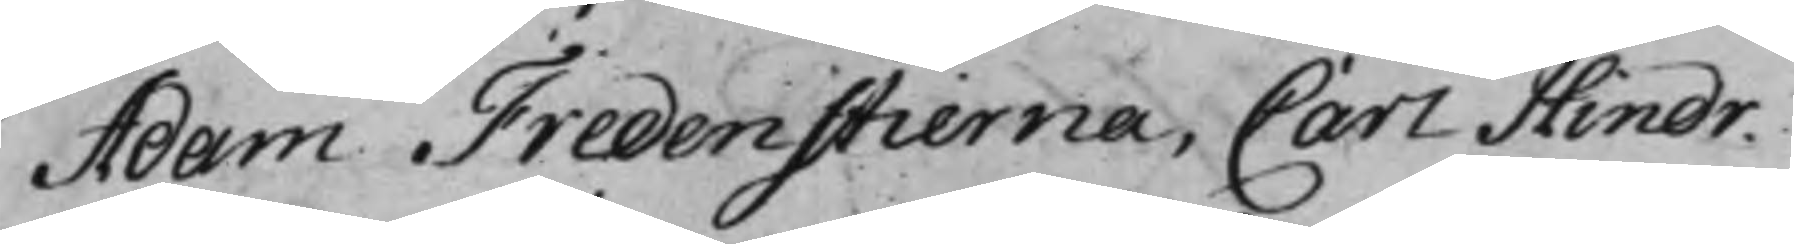Adam Fredenstierna, Carö Hindr.
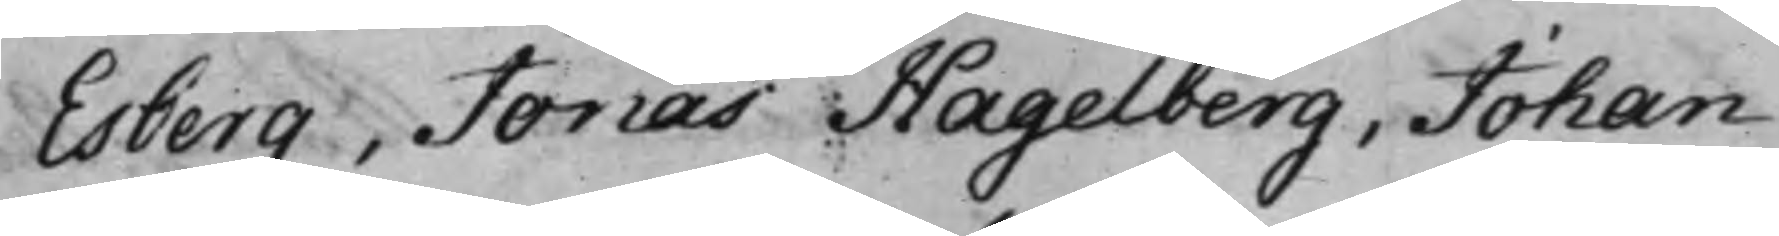Esberg, Jonas Hagelberg, Johan
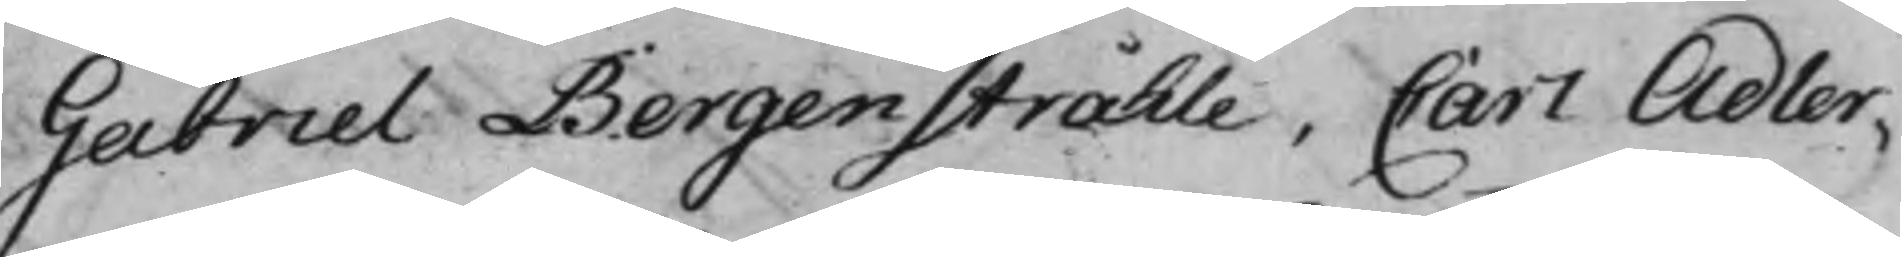Gabriel Bergenstråhle, Carl Adler¬
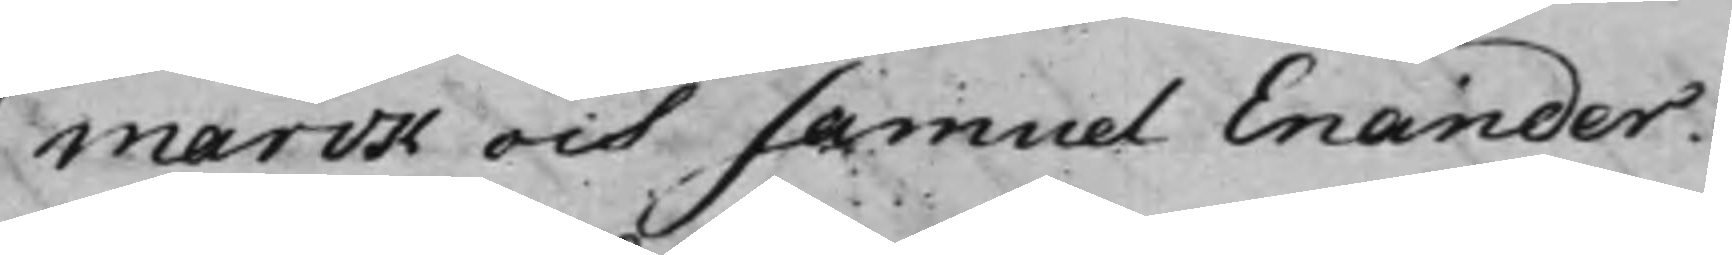marck och Samuel Enander.
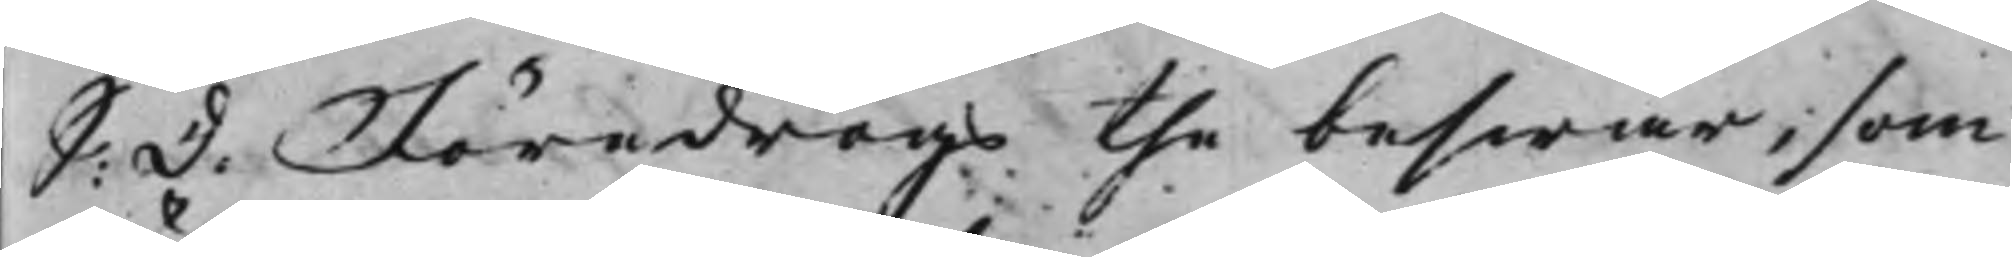S: d: Föredrogs the beswär, som
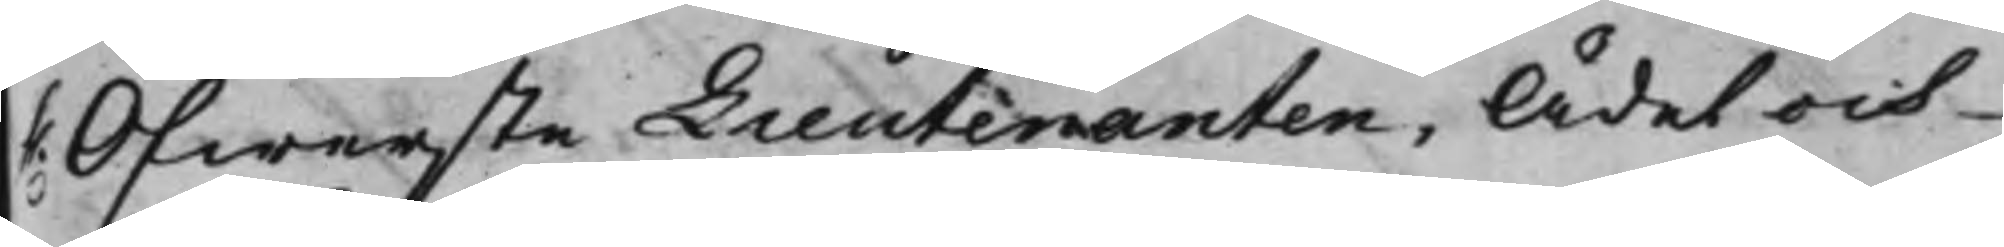h. Öfwerste Lieutenanten, Ädel och
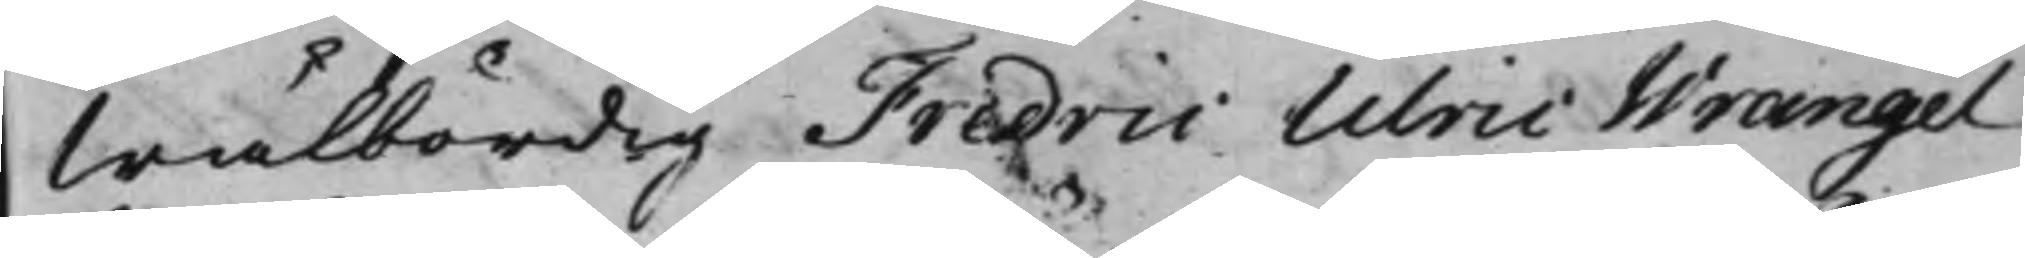Wälbördig Fredric Ulric Wrangel
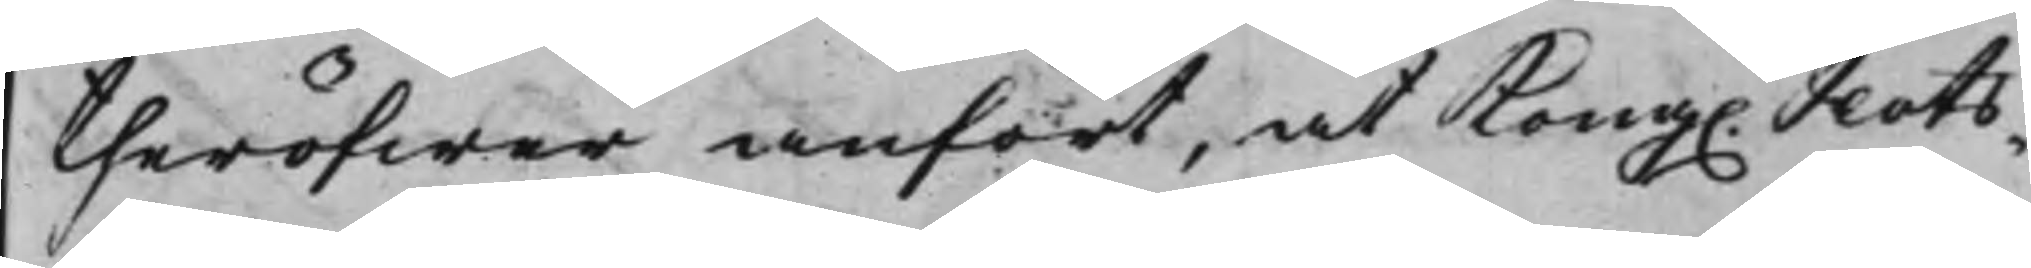theröfwer anfört, at Kong. Slots¬
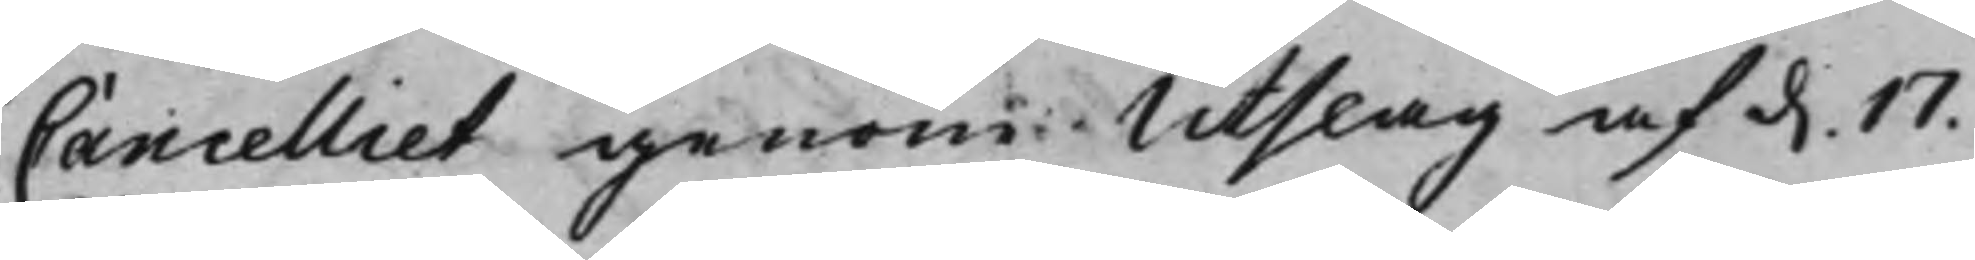Cancelliet genom Utslag af d. 17.
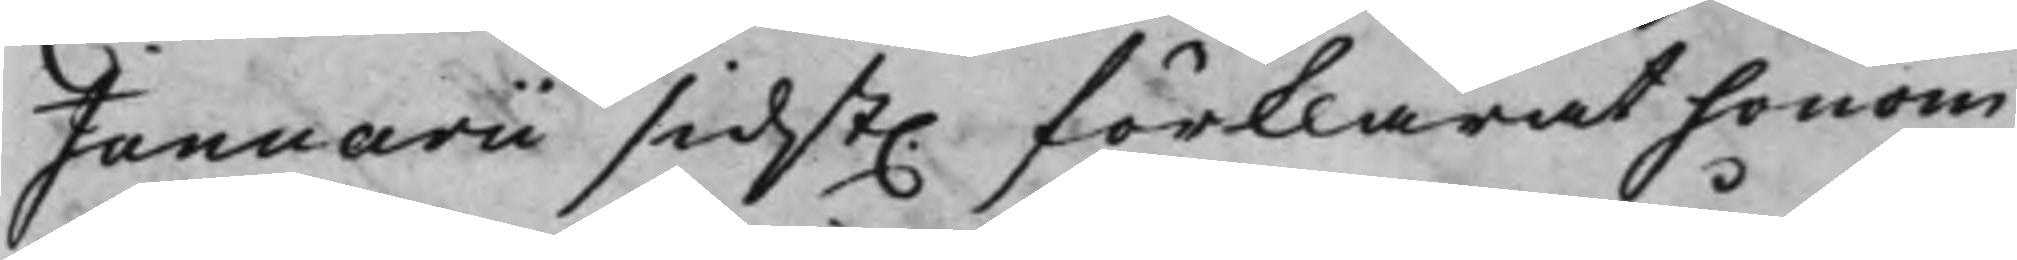Januarii sidst. förklarat honom
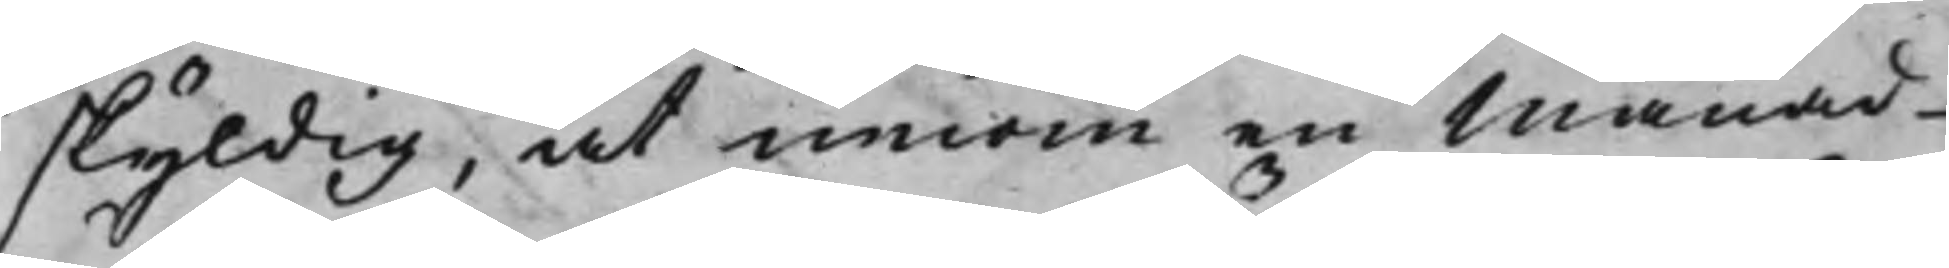skyldig, at innom en Månad
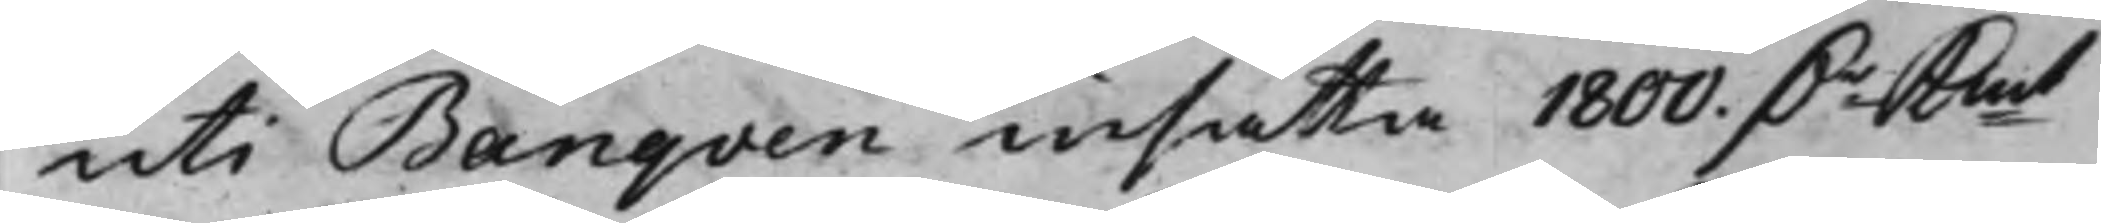uti Banqven insätta 1800. Dr Kmt
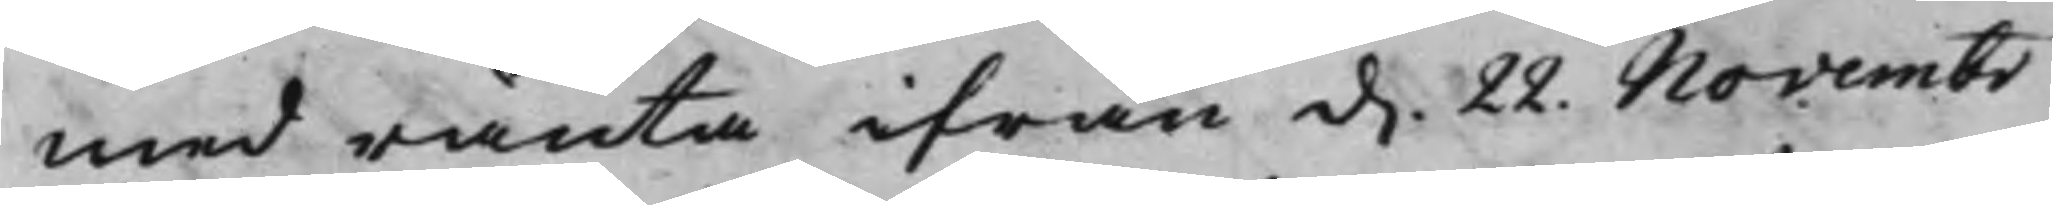med ränta ifrån d. 22. Novembr
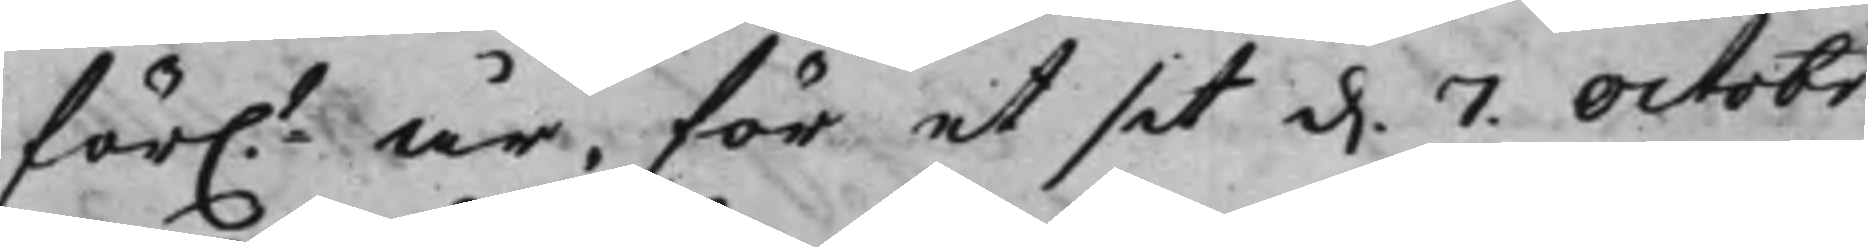för.t år, för et sit d. 7. Octobr
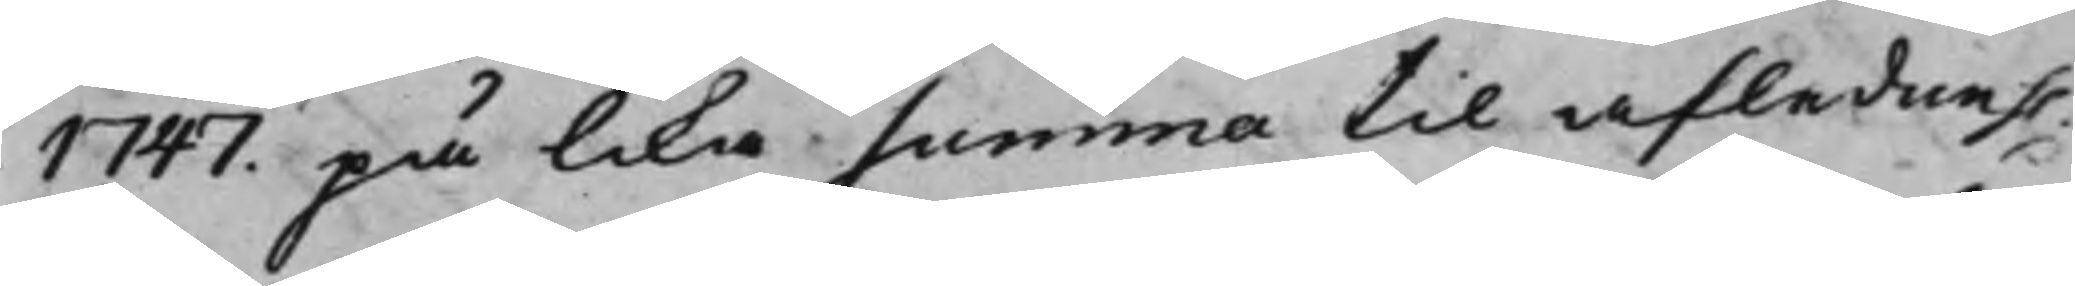1747. på lika Summa til afledne h.
